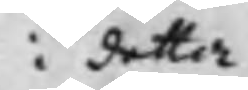i detta
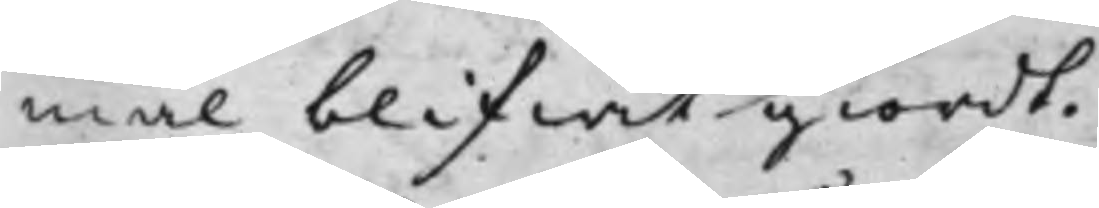mål blifwit giordt.
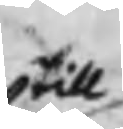till¬
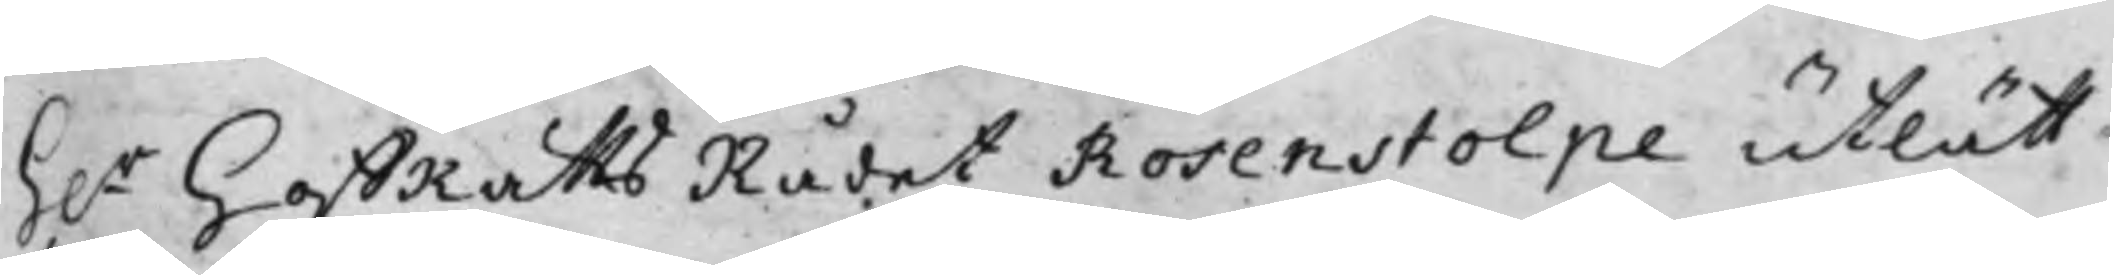H.r HoffRättsRådet Rosenstolpe utlätt
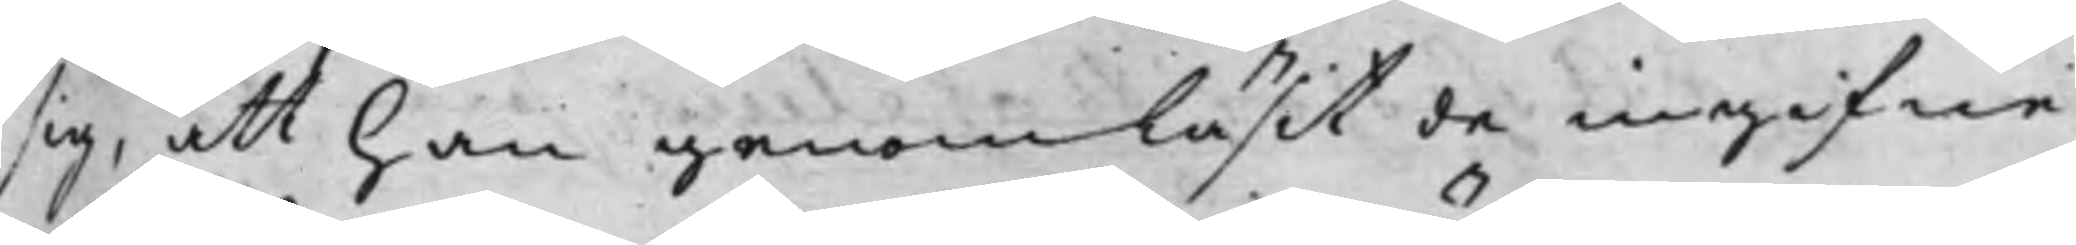sig, att han genomläsit de ingifne
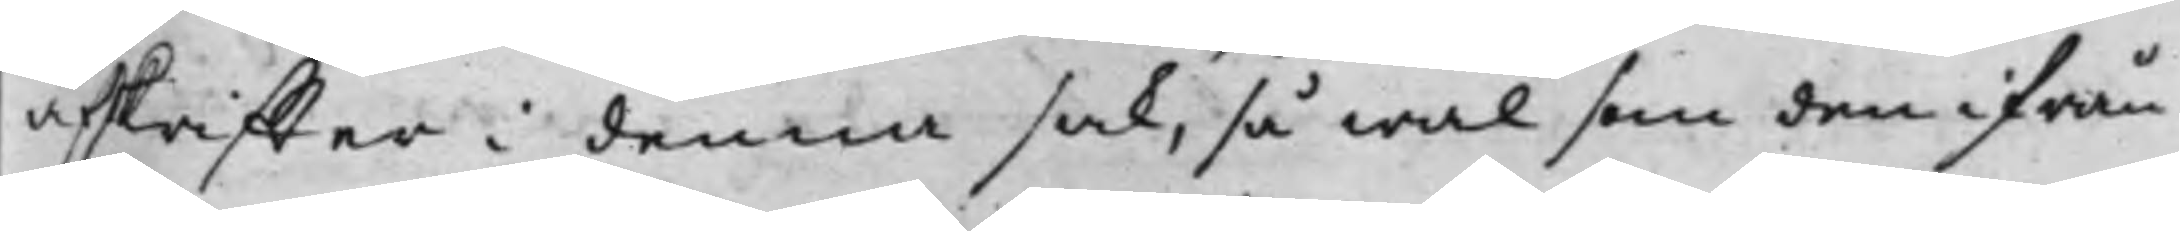afskriffter i denna sak, så wäl som den ifrån
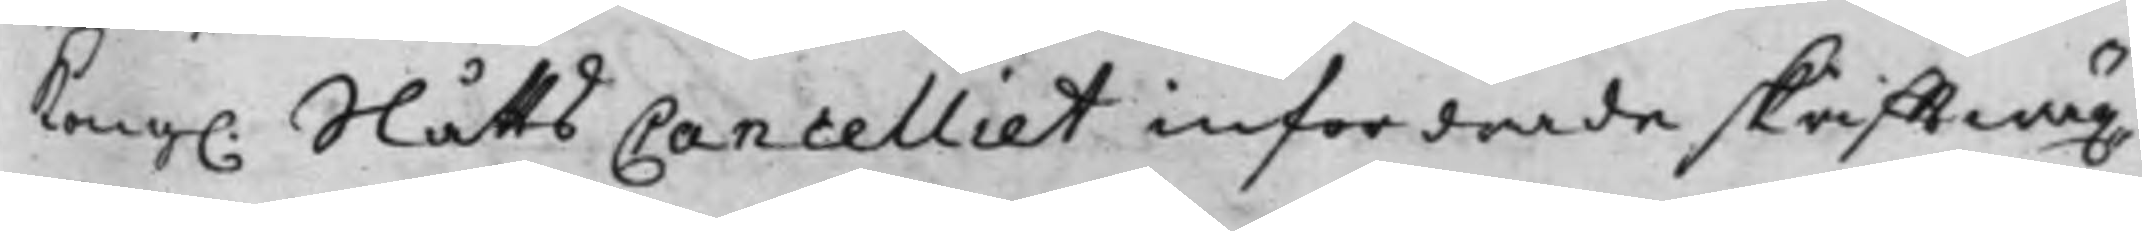Kong. SlåttsCancelliet infordrade skrifftwäx¬
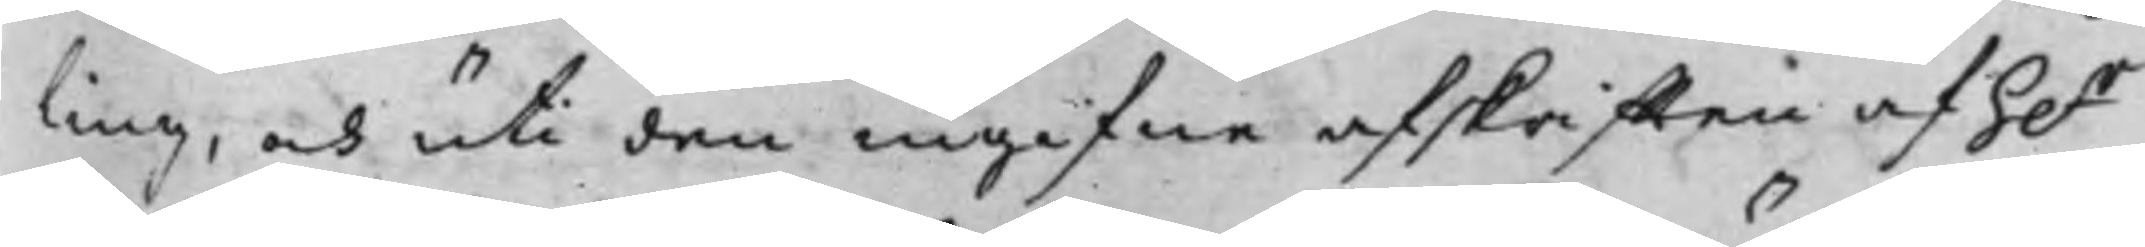ling, och uti den ingifne afskrifften af h.r
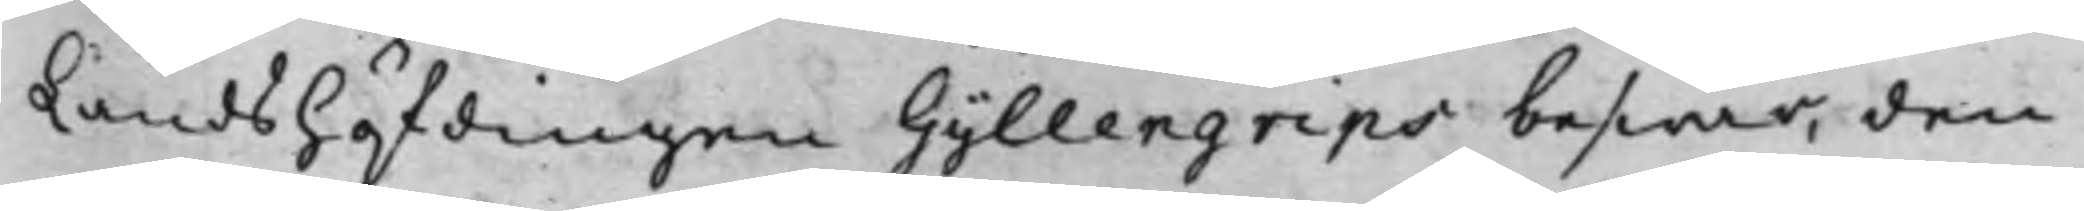Landshöfdingen Gyllengrips beswär, den
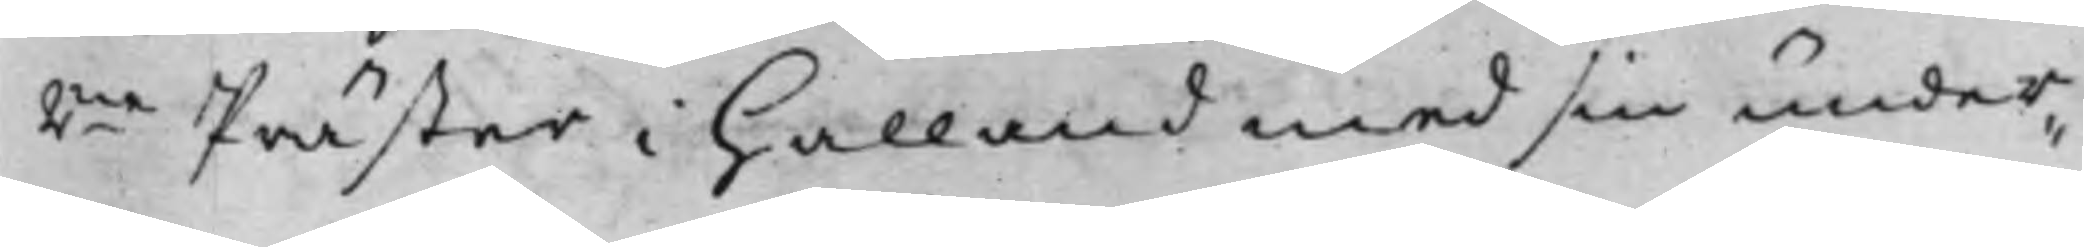2ne Präster i Halland med sin under¬
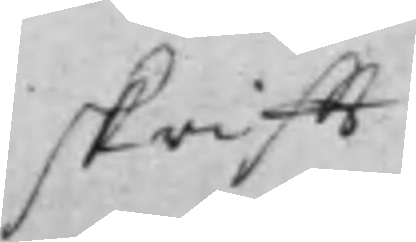skrifft
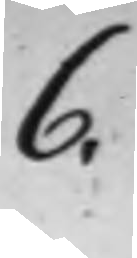6.
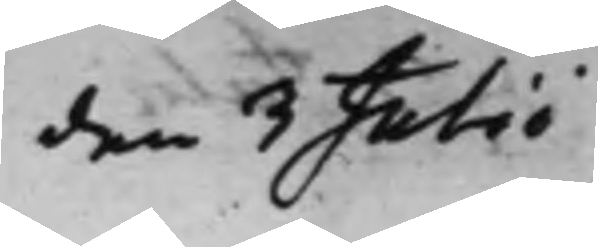den 3 Julii
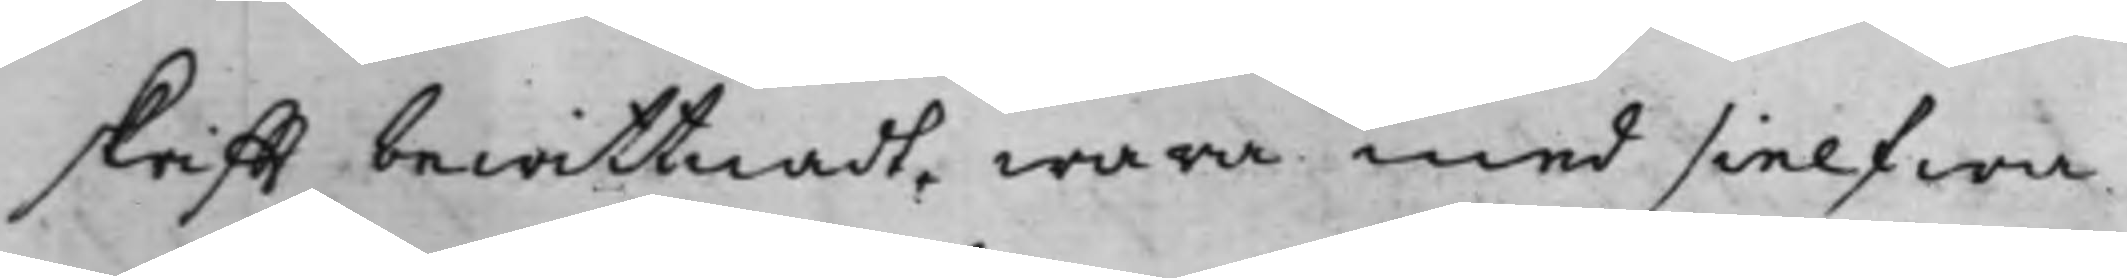skrifft bewittnadt, wara med sielfwa
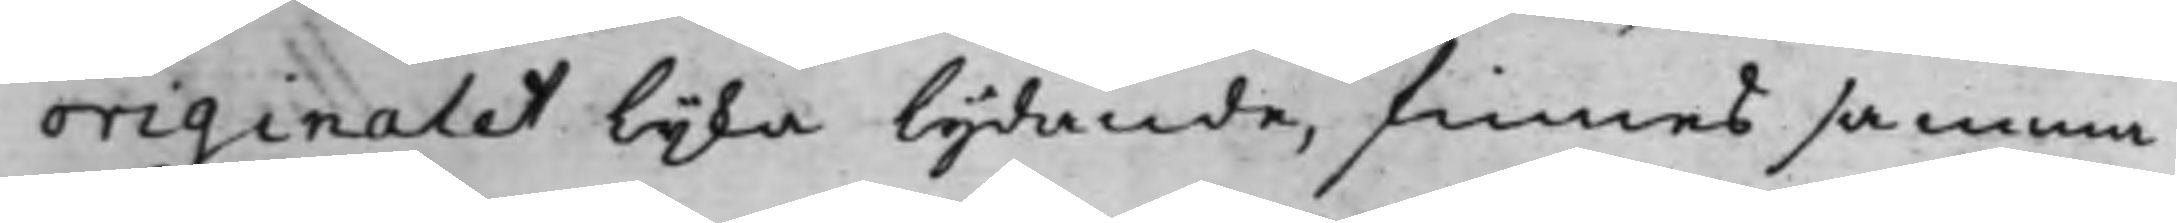originalet lijka lydande, finnes samma
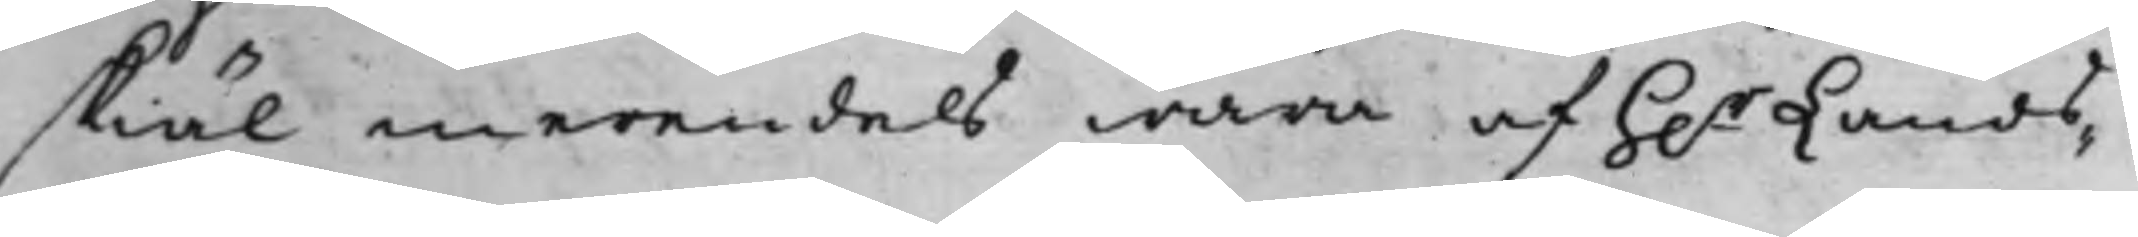skiäl merendels wara af h.r Lands¬
